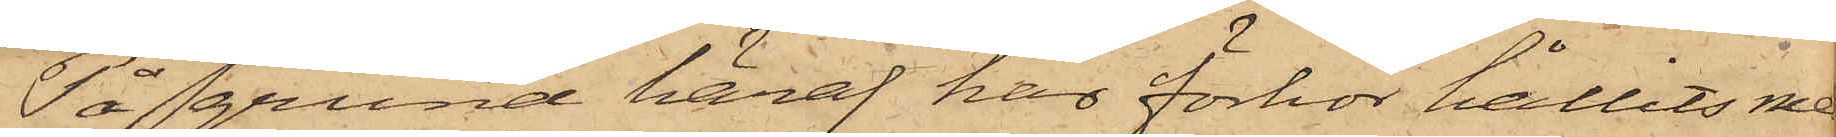På grund häraf har förhör hållits med
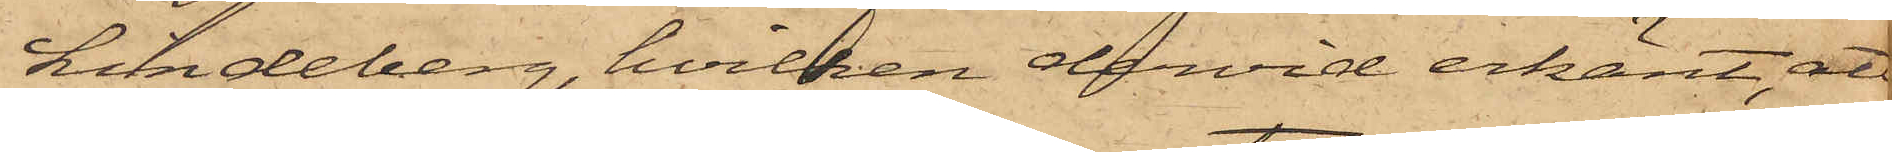Lindeberg, hvilken dervid erkänt, att
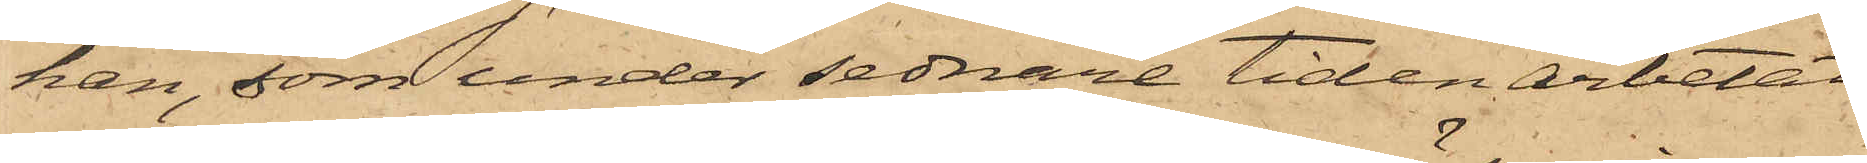han, som under sednare tiden arbetat
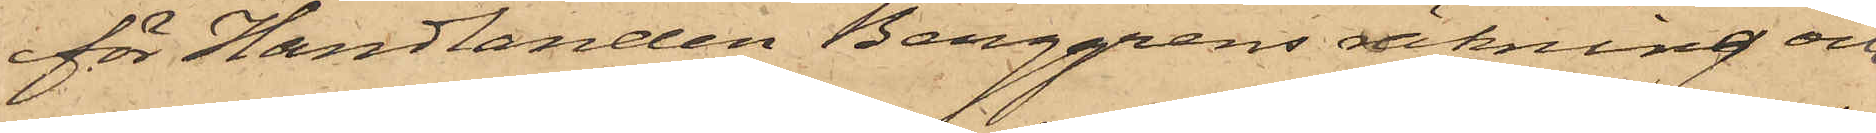för Handlanden Berggrens räkning och
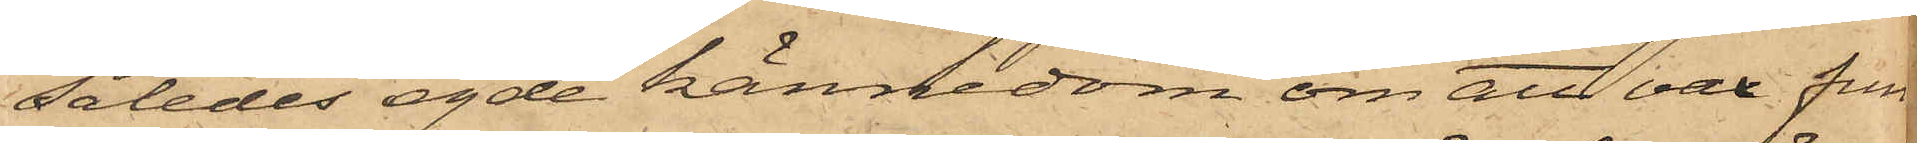således egde kännedom om att vax fun¬
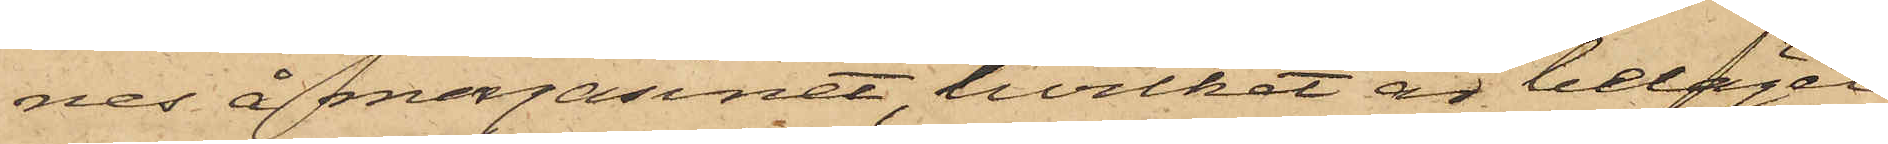nes å magasinet, hvilket är beläget
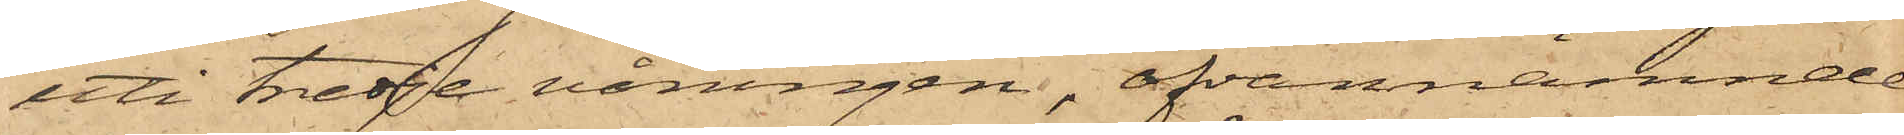uti tredje våningen, ofvannämnde
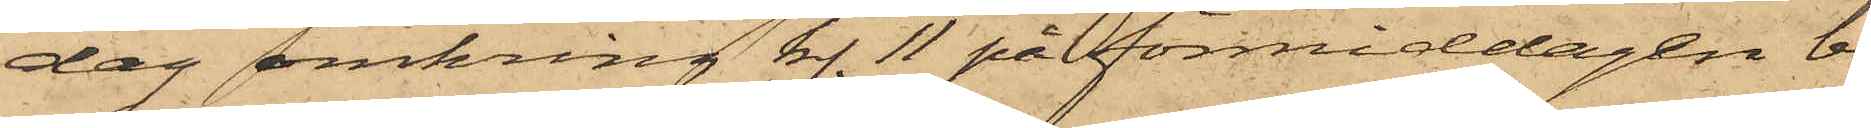dag omkring kl. 11 på förmiddagen be¬
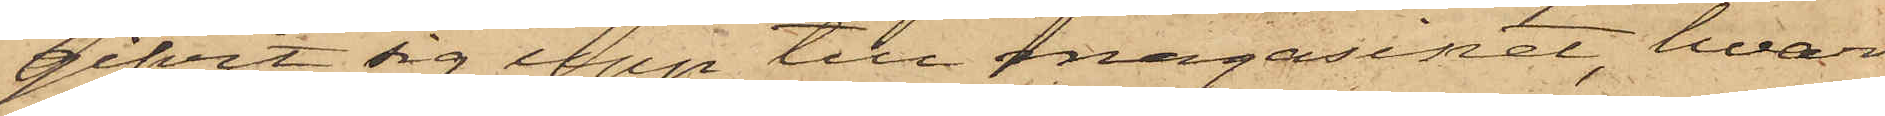gifvit sig upp till magasinet, hvars
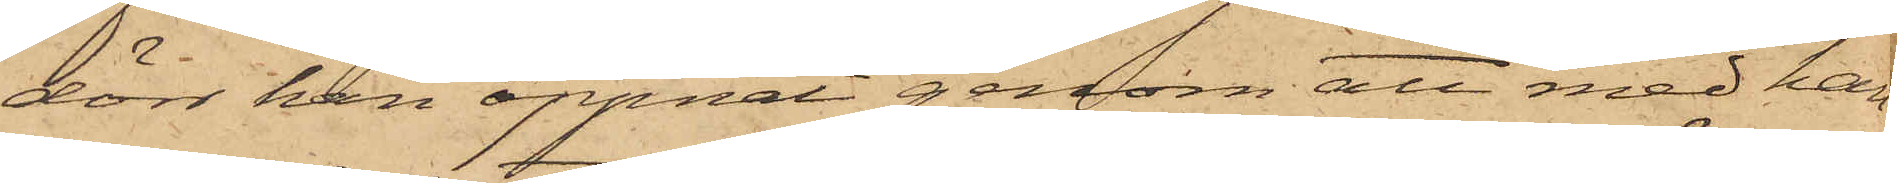dörr han öppnat genom att med han¬
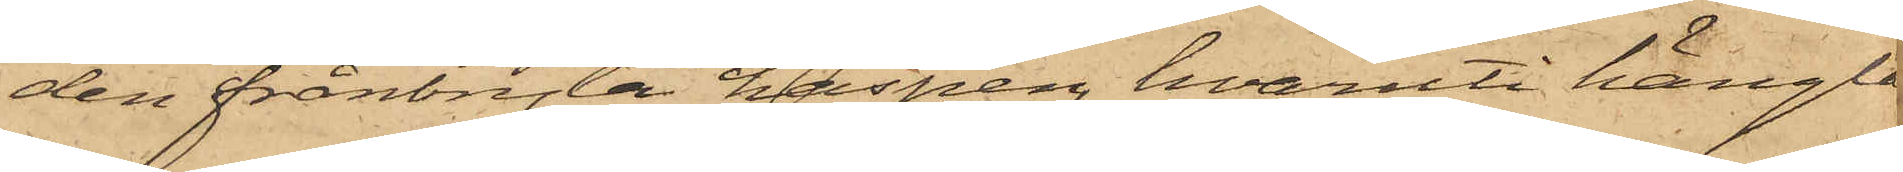den frånbryta haspen, hvaruti hänglå¬
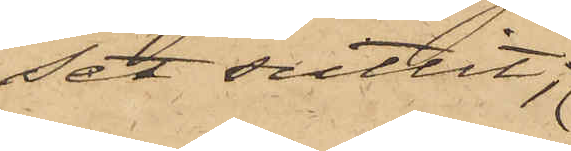set suttit;
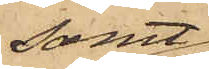samt
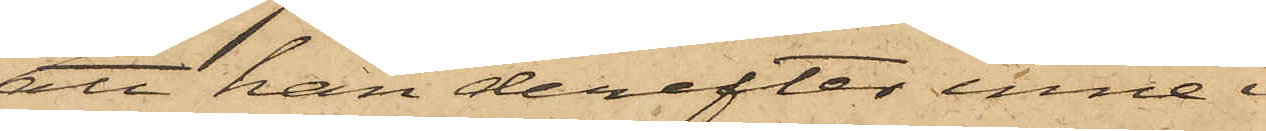att han derefter inne i
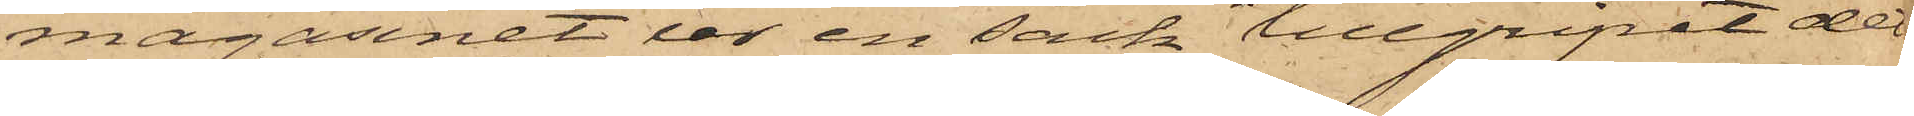magasinet ur en säck tillgripit den
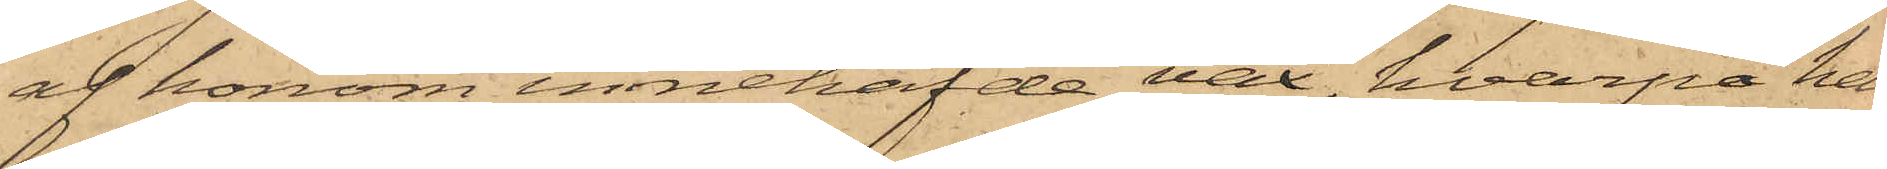af honom innehafde vax, hvarpå han
